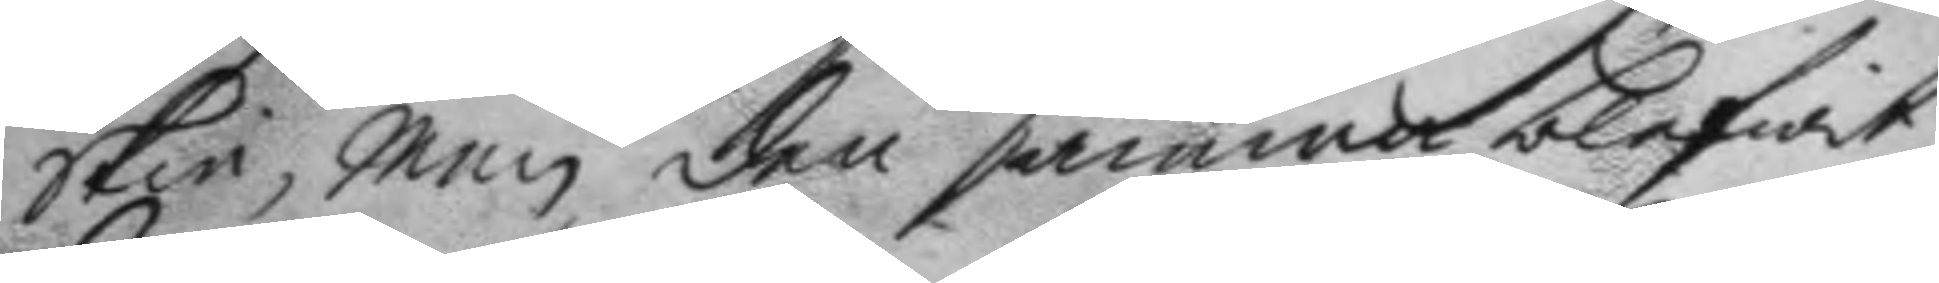skie, Men den samma blifwit
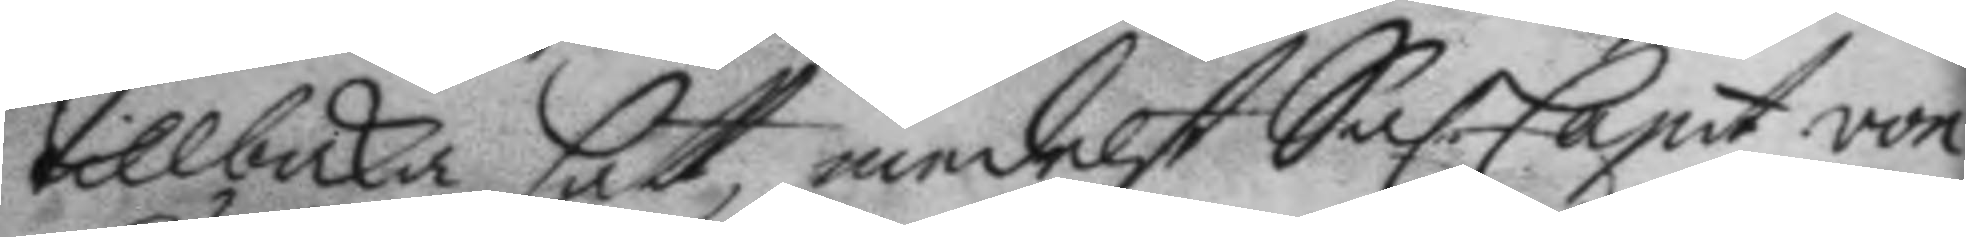tillbaka satt, medelst Sal. Capit. von
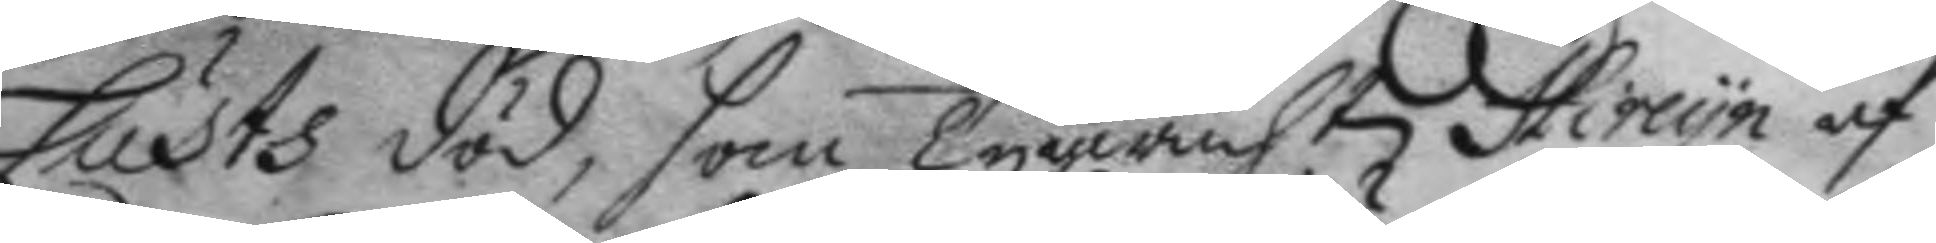Lusts död, som Tygwacht. Hircyn af
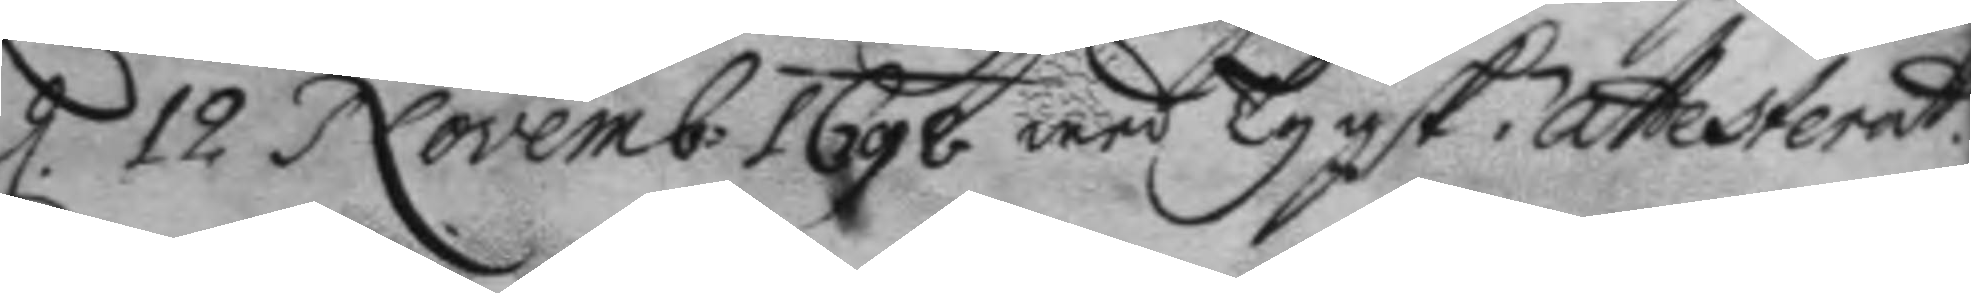d. 12 Novemb: 1698 wed tygsk Attesterat.
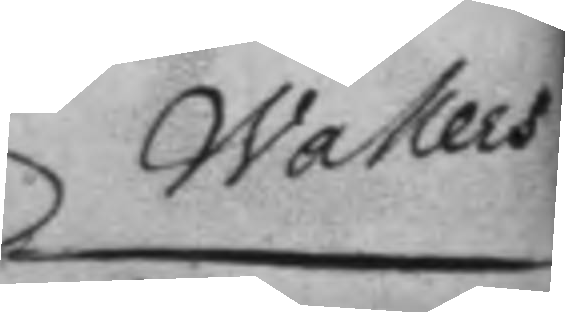Wallers
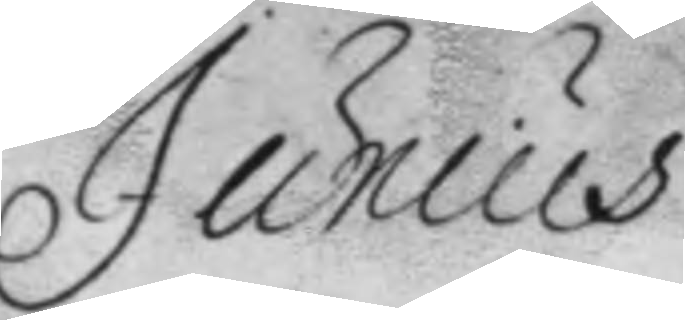Junius
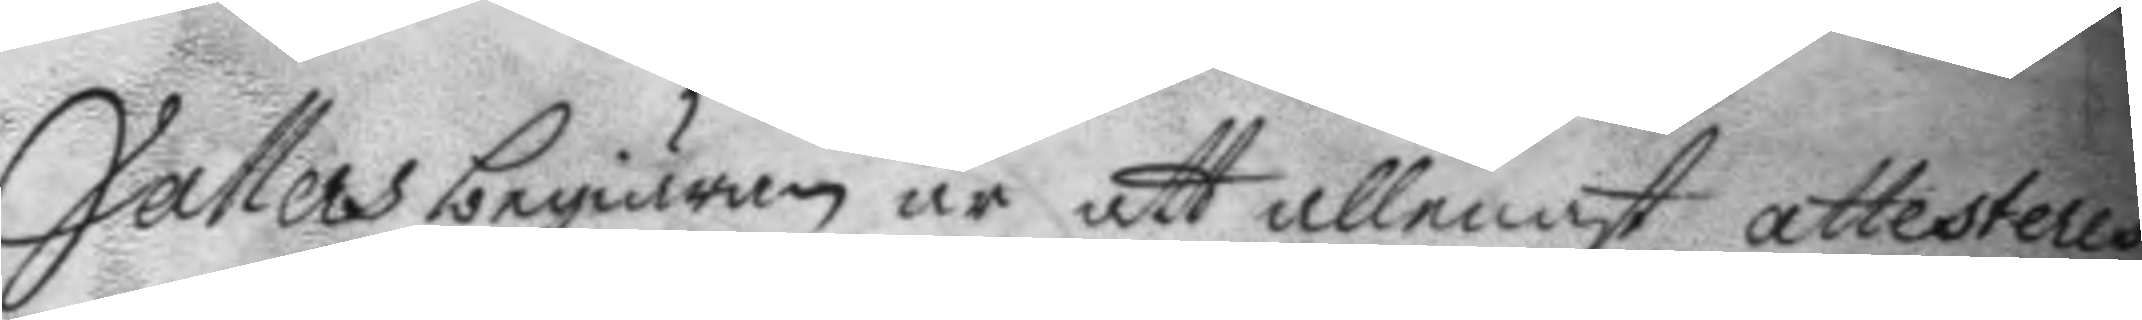Vallers begiäran är att allenast attesteras
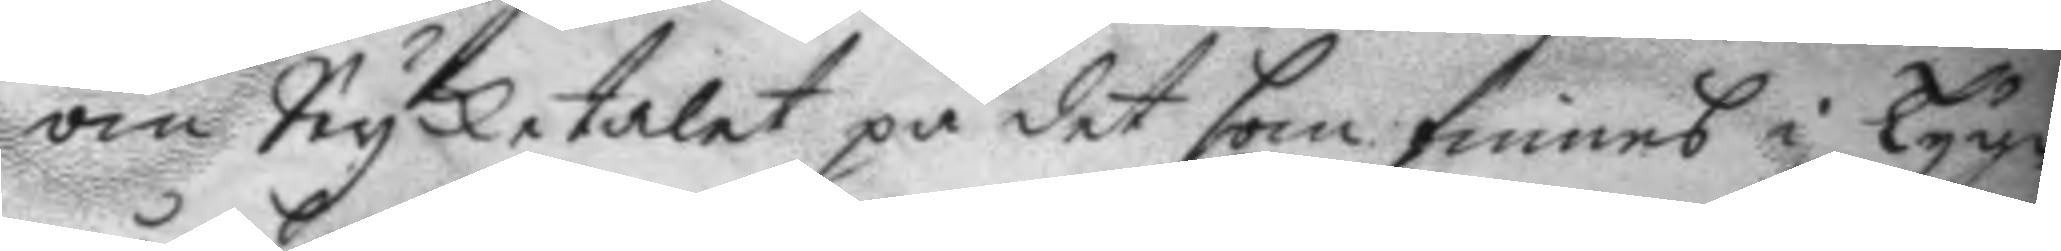om Stycketalet på det som finnes i Tyge¬
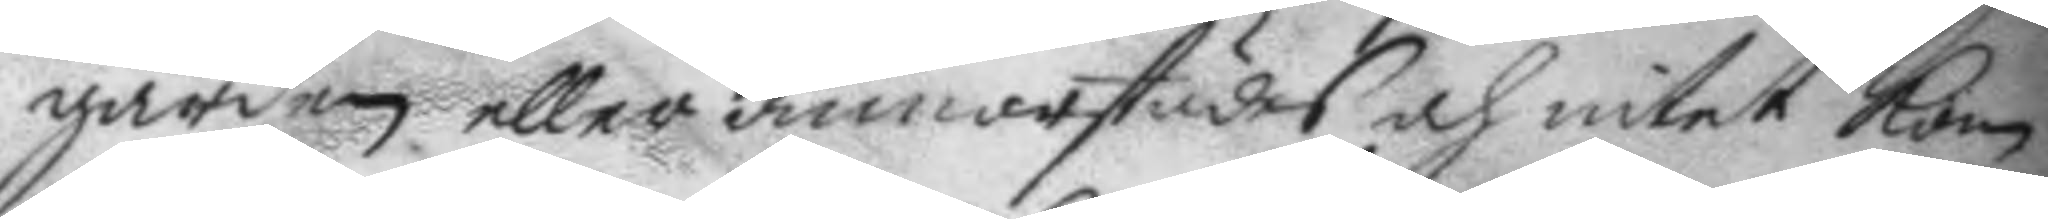gården eller annorstädes och intet kom¬
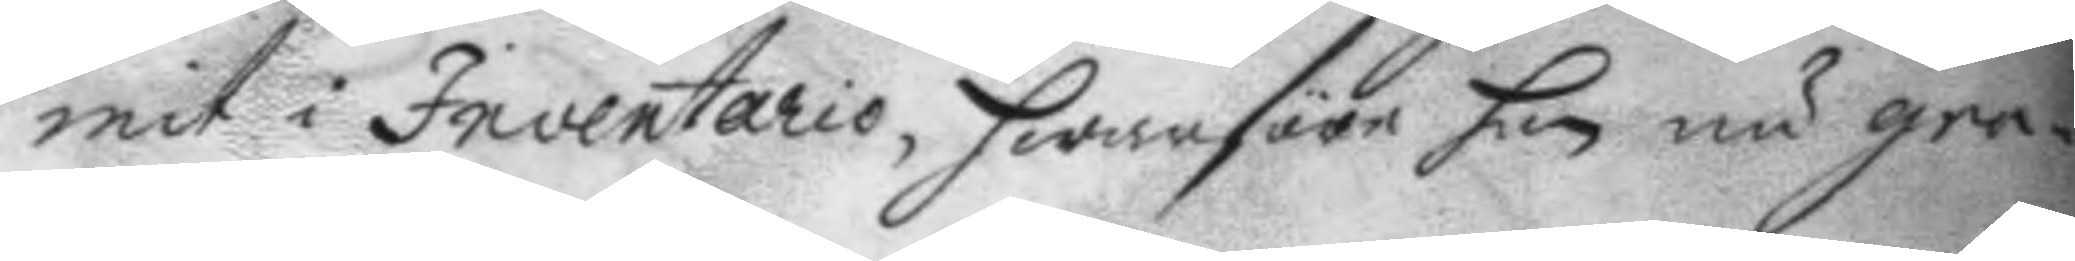mit i Inventario, hwarföre han nu gra¬
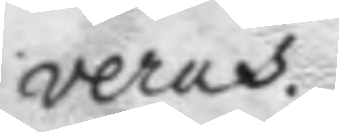veras.
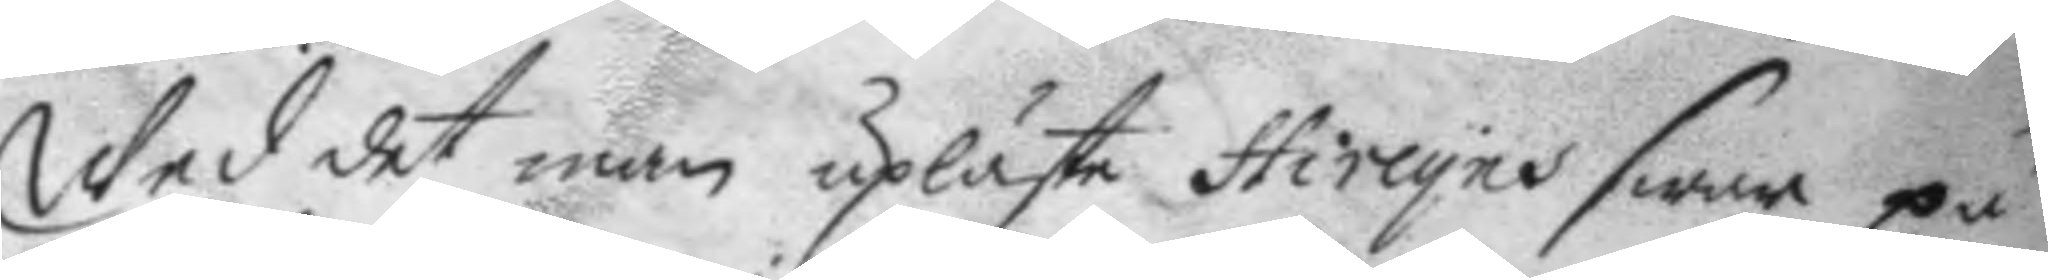Wed det man upläste Hireyes swar på
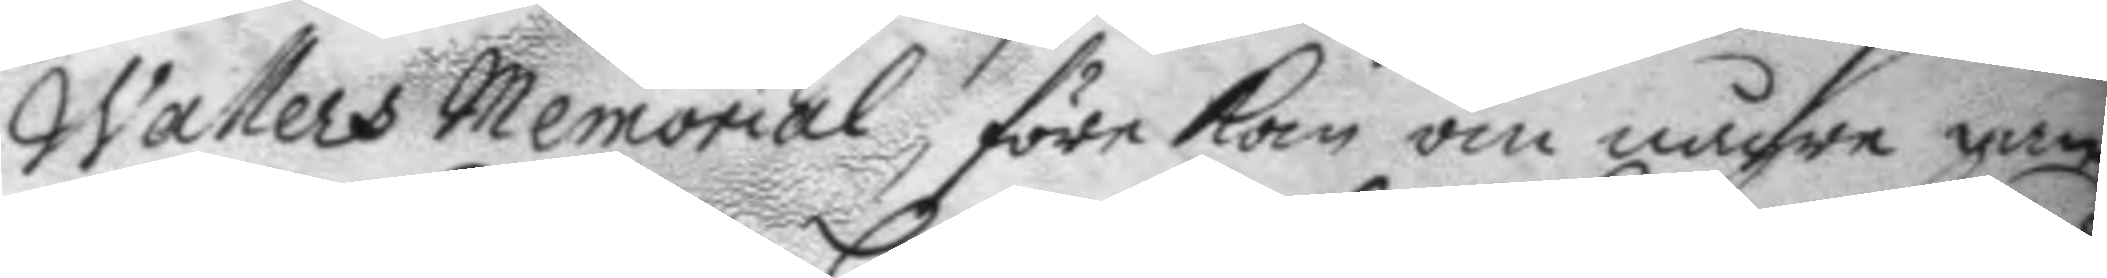Wallers memorial, före kom om någre gam¬
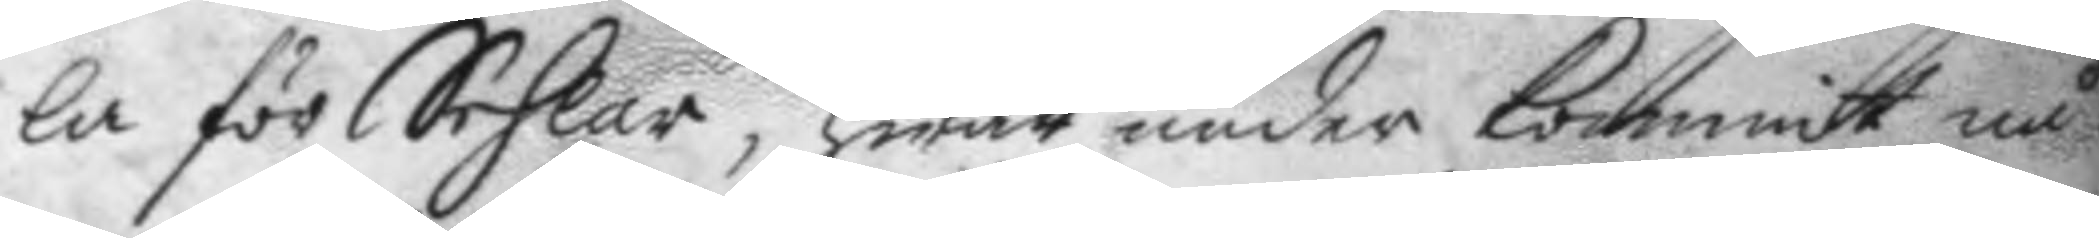la för Sehlar, hwar under kommit nå¬
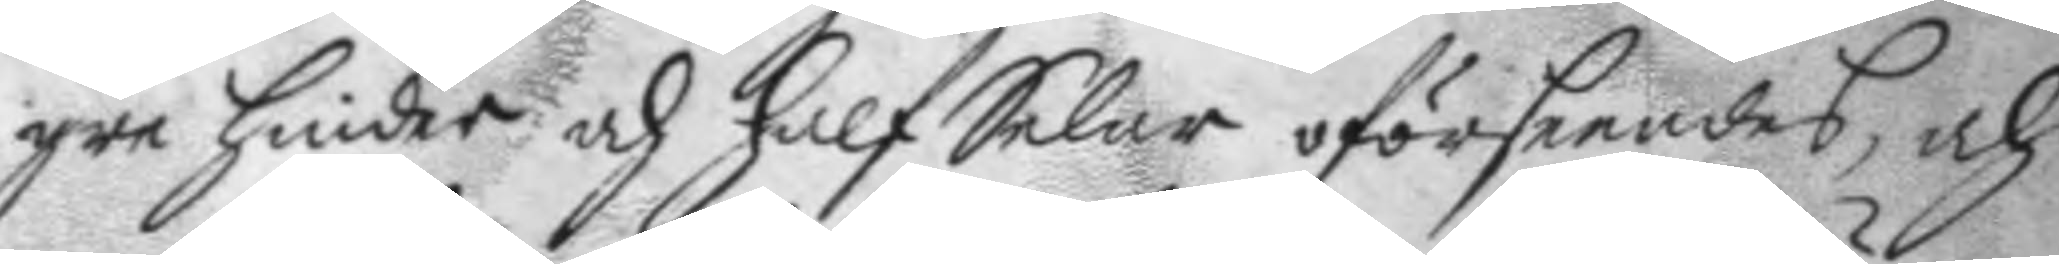gre hinder och half Selar oförseendes, och
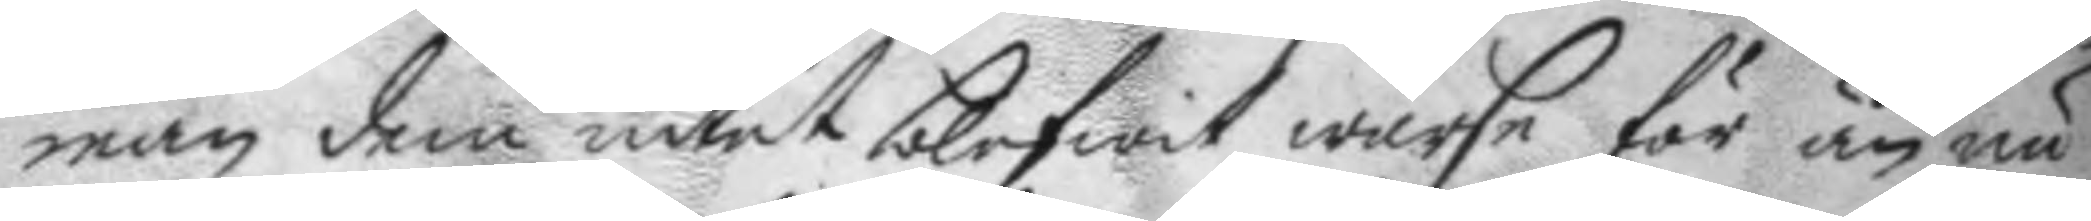man dem intet blifwit warse för än nu
